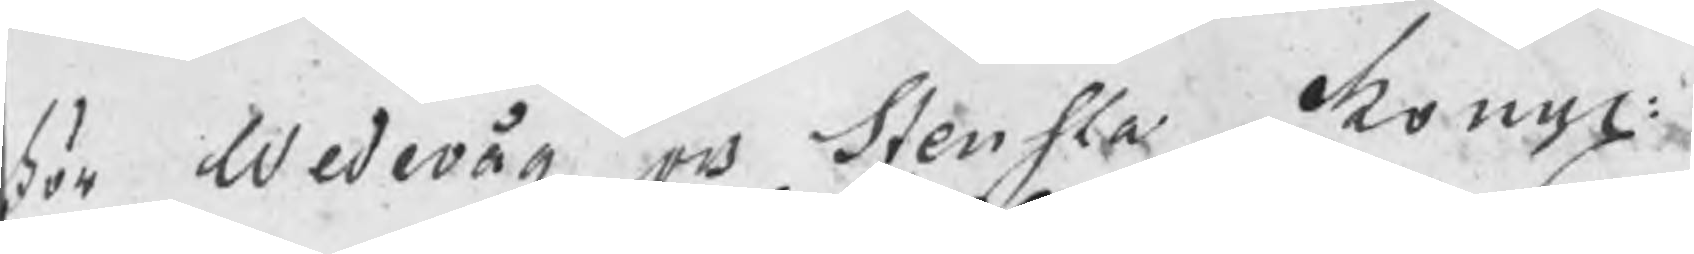För Wedevåg och Stensta Kongl:
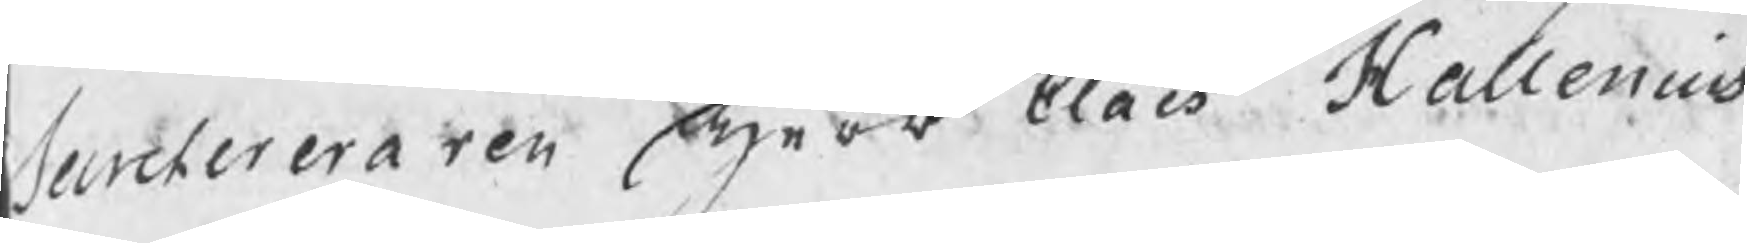Secreteraren Herr Claës Hallenius
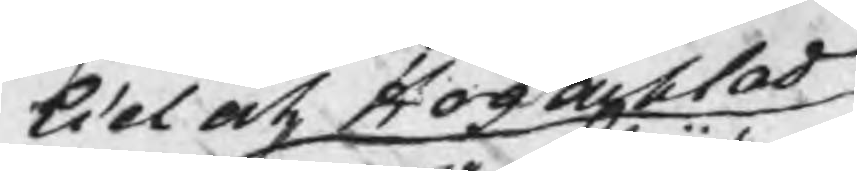Wel och Hogacktad
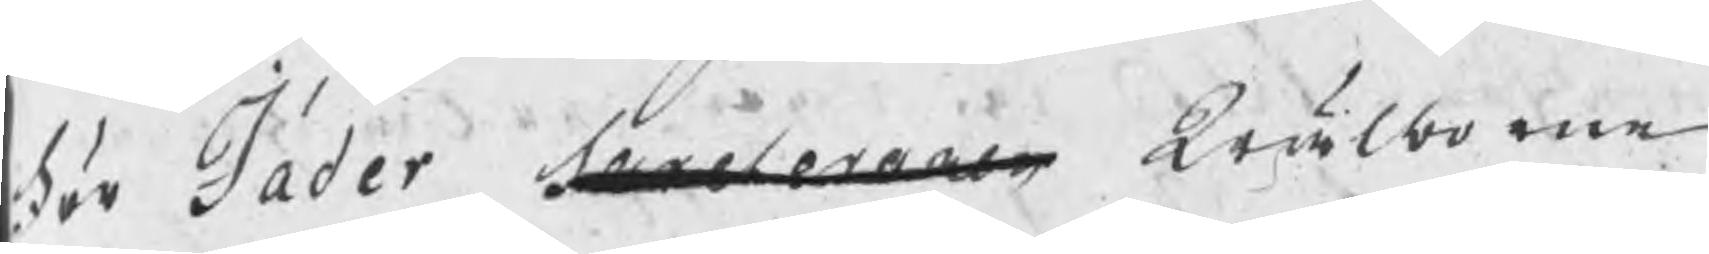För Jäder Secreteraren Wälborne
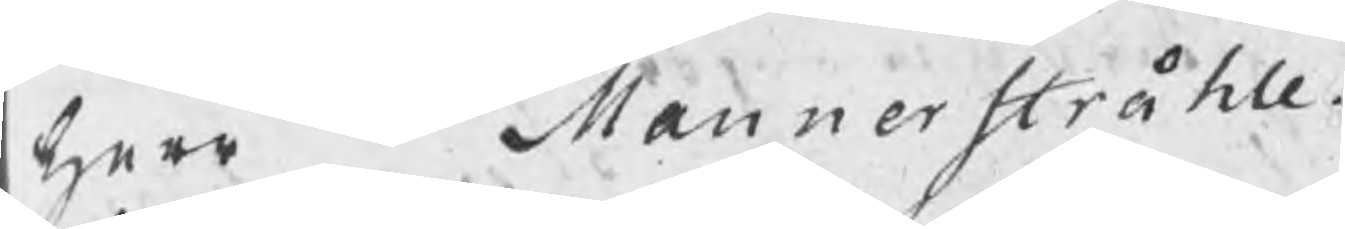herr   Mannerstråhle.
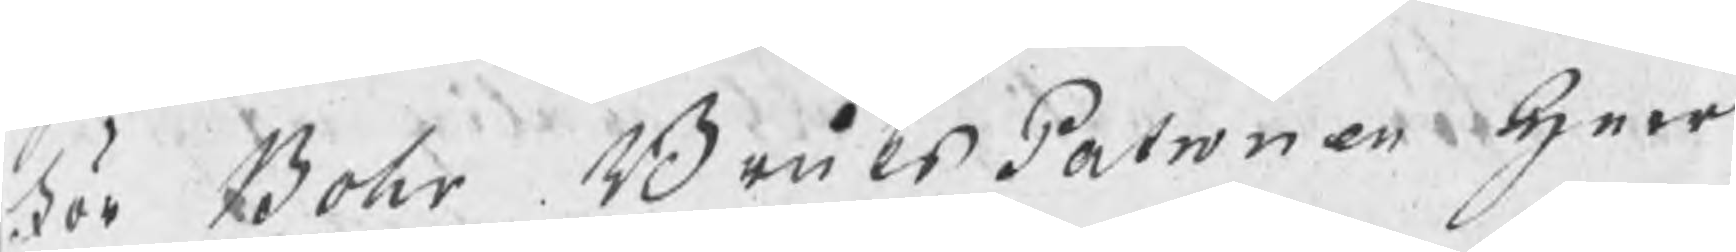För Bohr BruksPatronen herr
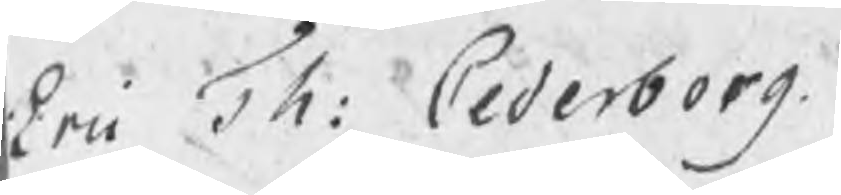Eric Th: Cederborg.
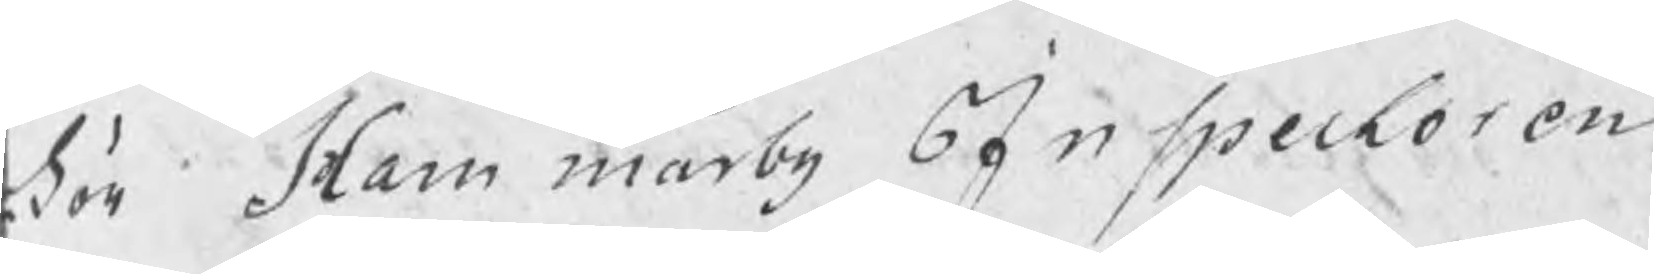För Hammarby Inspectoren
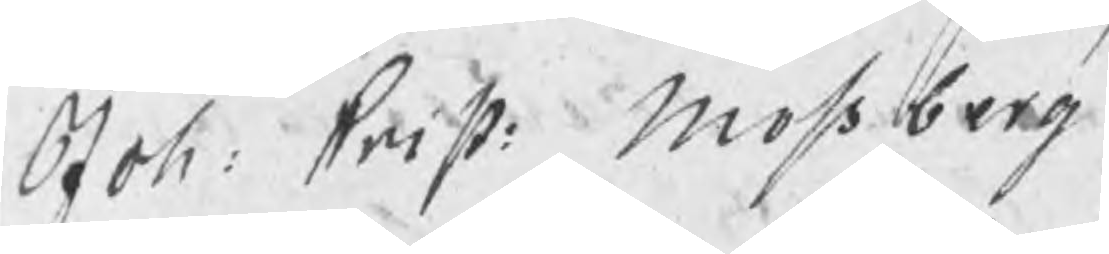Joh: Crist: Mossberg
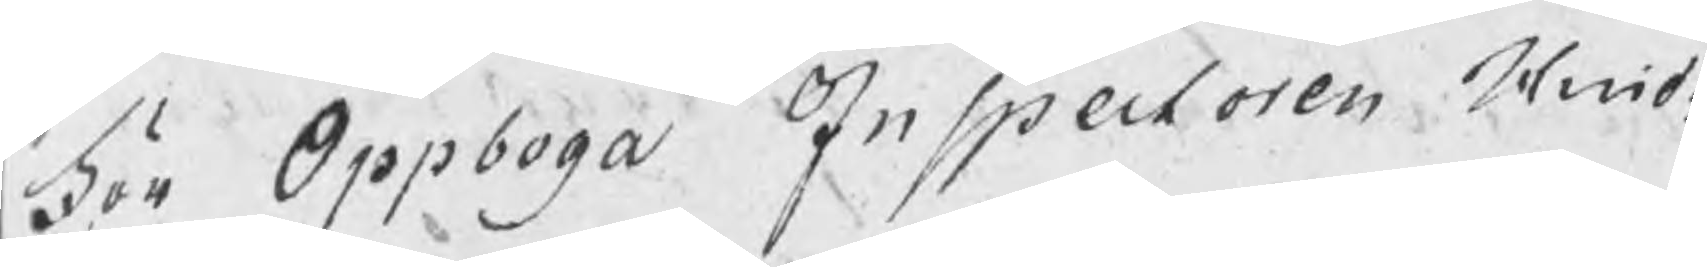För Oppboga Inspectoren Hind:
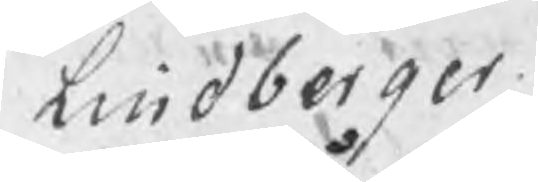Lindberger.
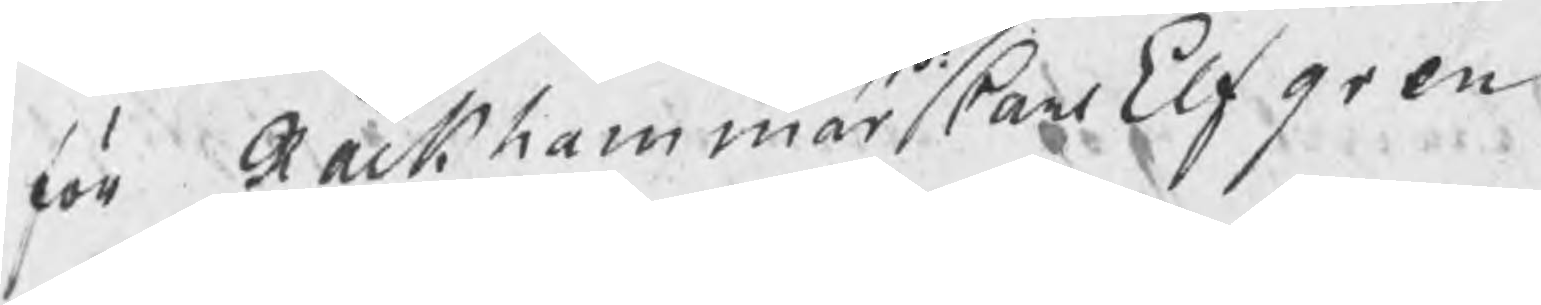för Råckhammar Carl Elfgren
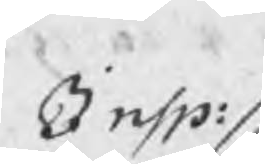Insp:
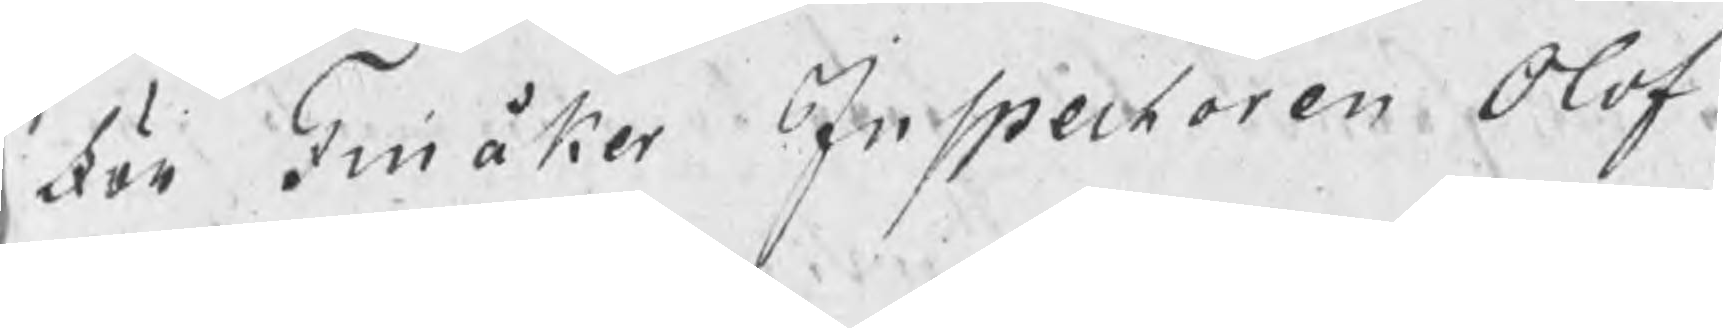För Finåker Inspectoren Olof
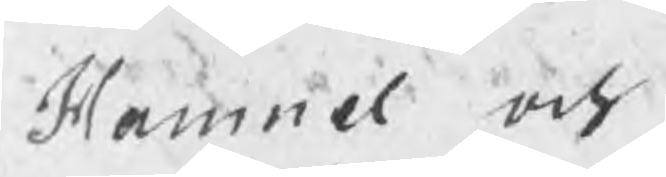Hamnel och
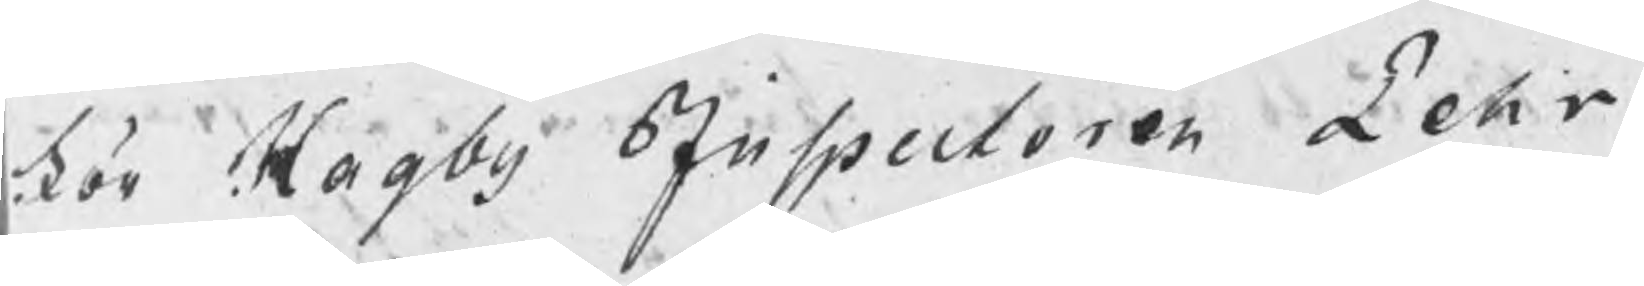För Hagby Inspectoren Pehr
